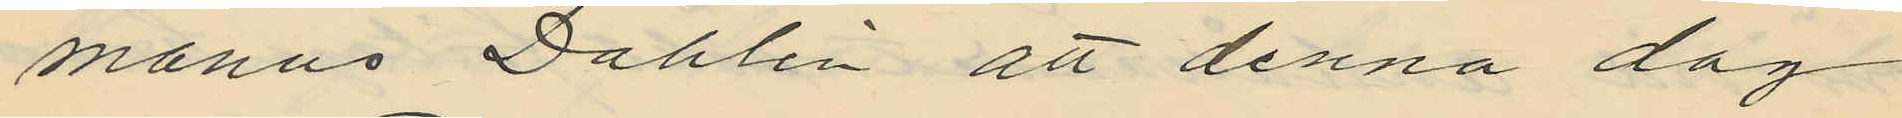manus Dahlin att denna dag
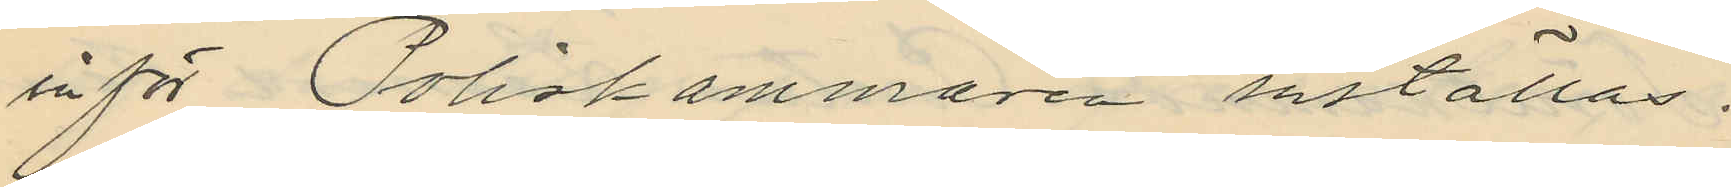inför Poliskammaren inställas.
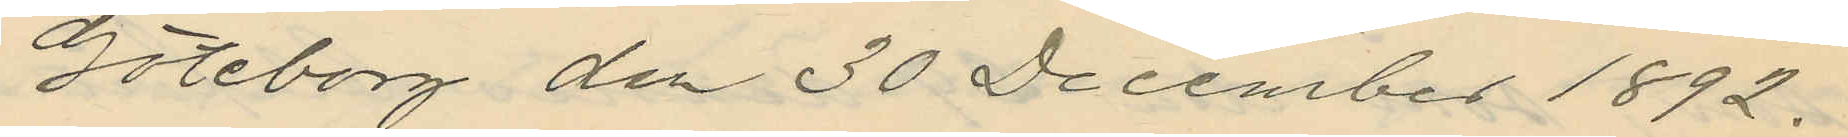Göteborg den 30 December 1892.
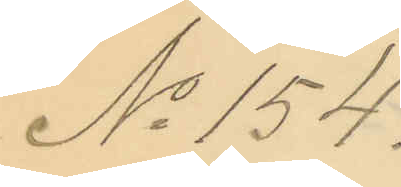No 154.
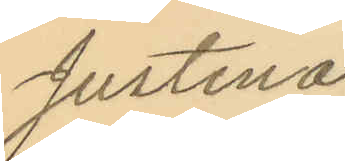Justina
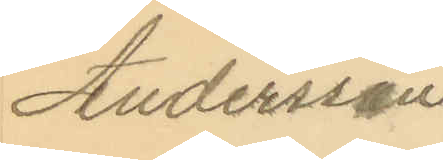Andersson
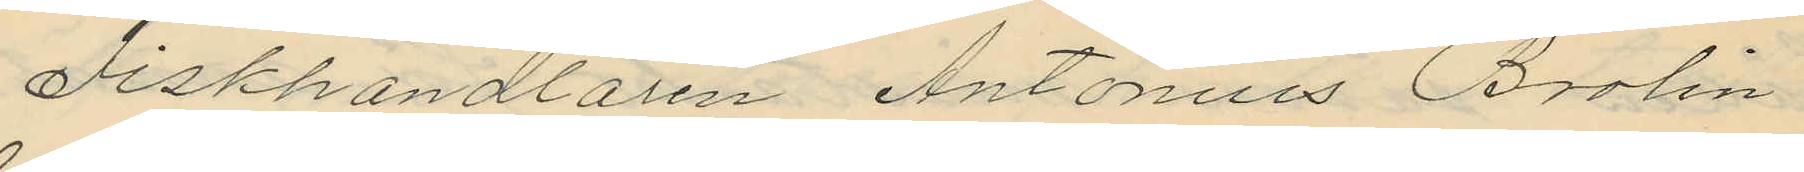Fiskhandlaren Antonius Brolin
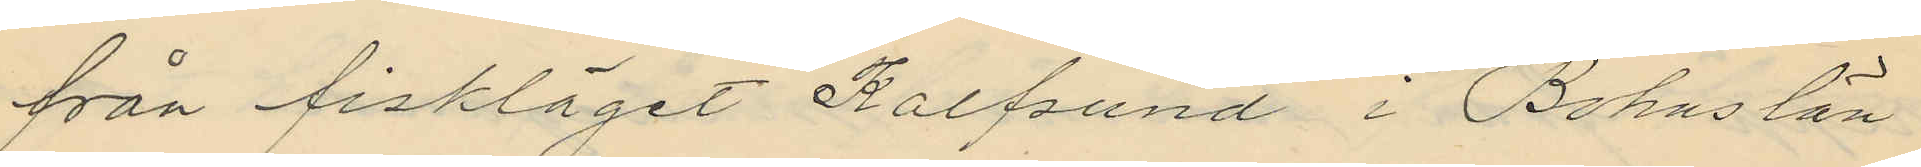från fisklåget Kalfsund i Bohuslän
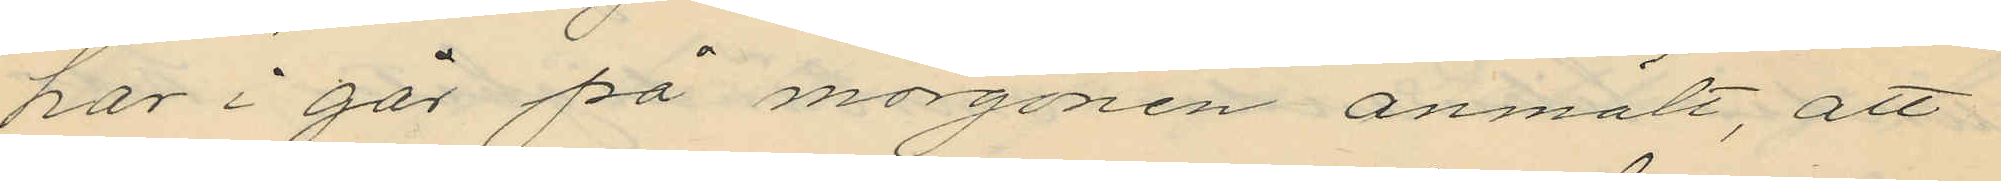har i går på morgonen anmält, att
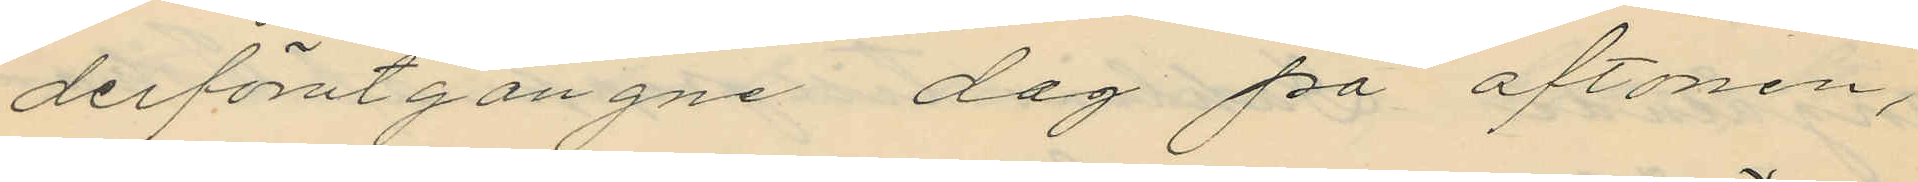derförutgångne dag på aftonen,
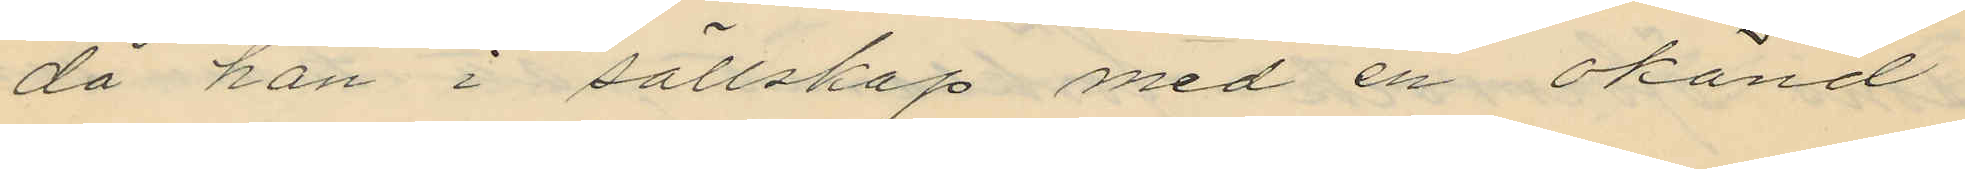då han i sällskap med en okänd
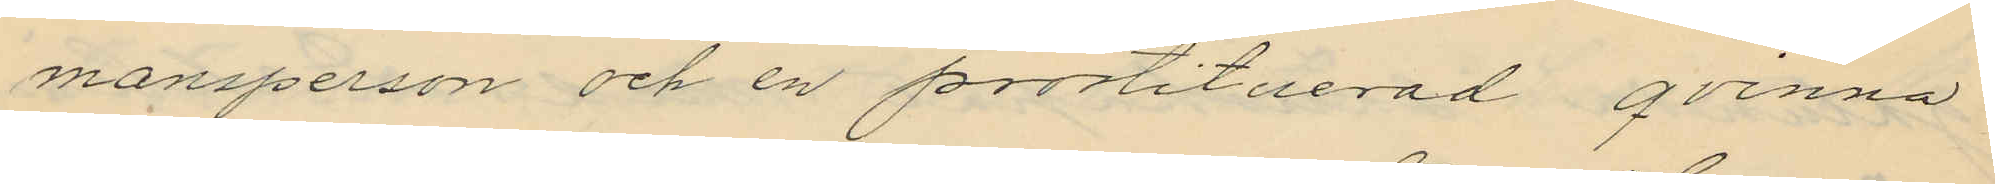mansperson och en prostituerad qvinna
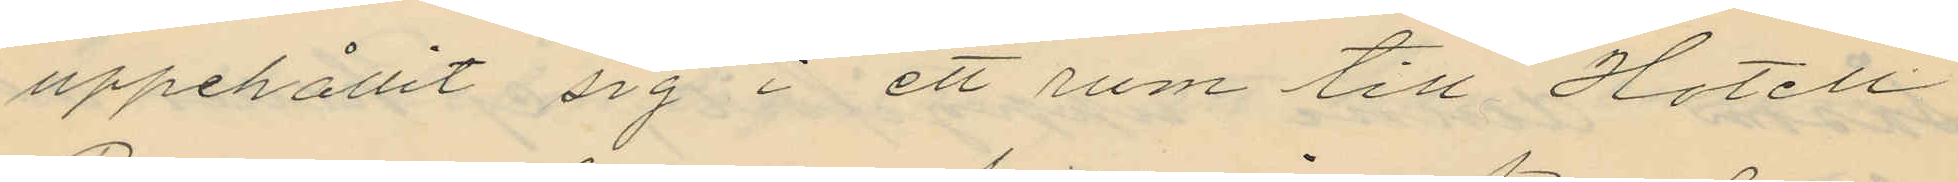uppehållit sig i ett rum till Hotell
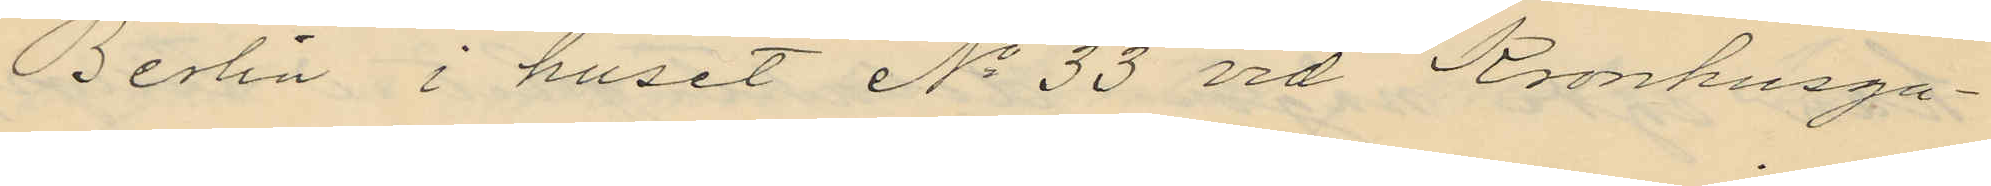Berlin i huset No 33 vid Kronhusga¬
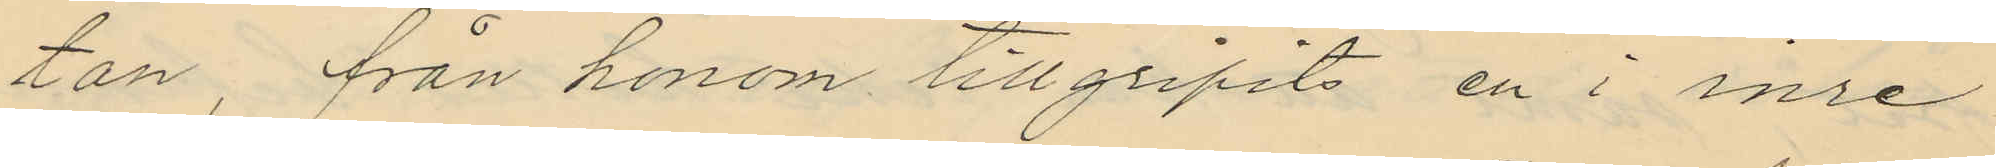tan, från honom tillgripits en i inre
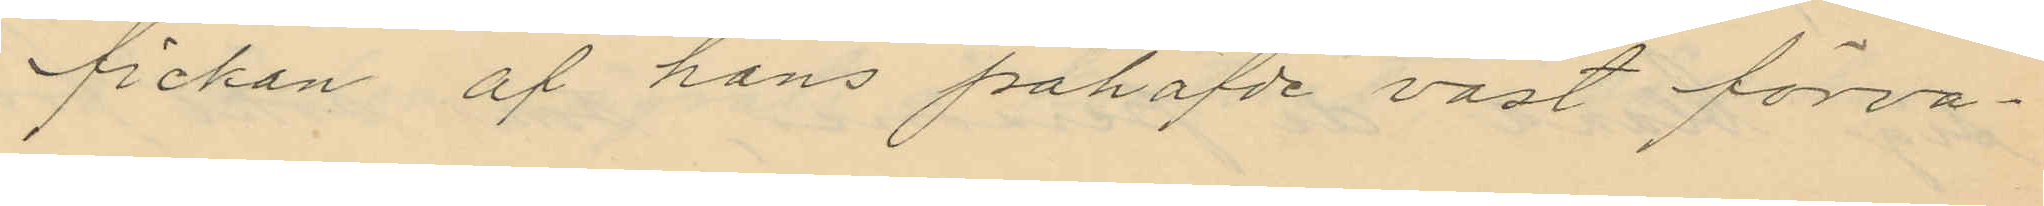fickan af hans påhafvde väst förva¬
